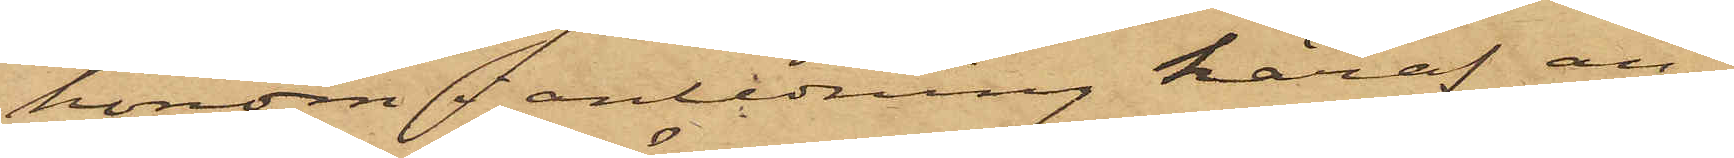honom i anledning häraf an¬
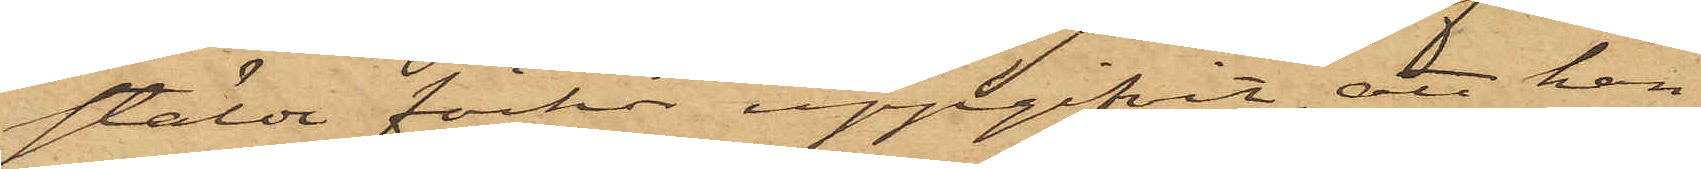stälde förhör uppgifvit, att han
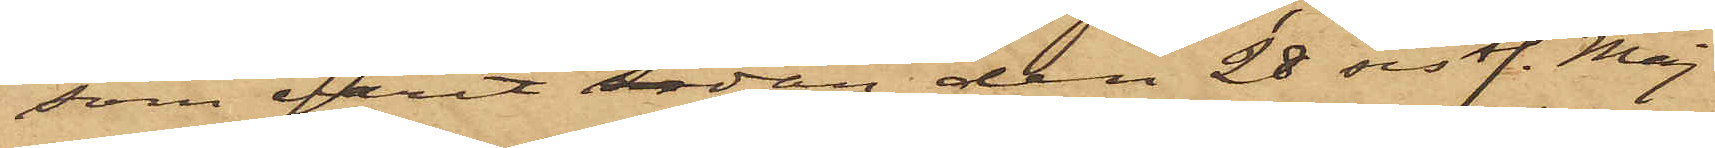som varit sedan den 28 sist. Maj
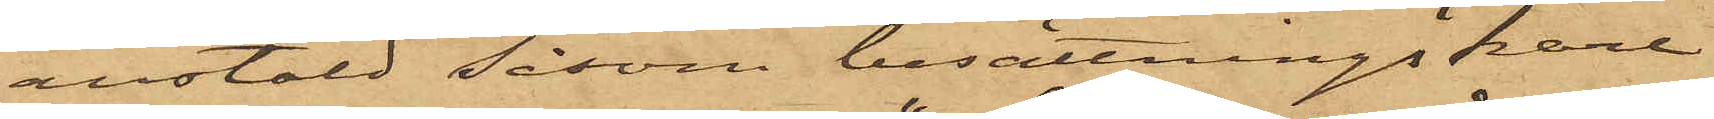anstäld såsom besättningskarl
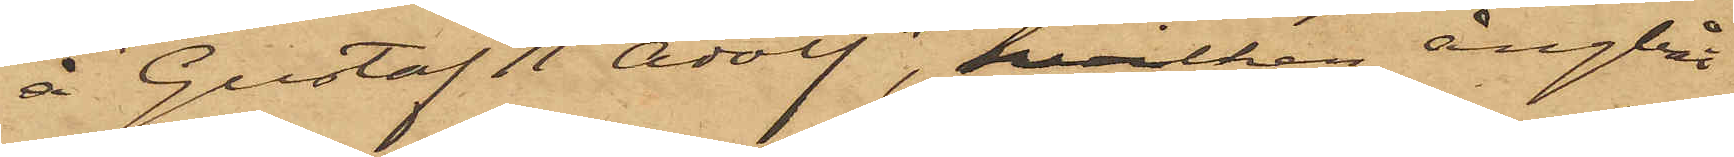å "Gustaf II Adolf",  hilken ångbåt
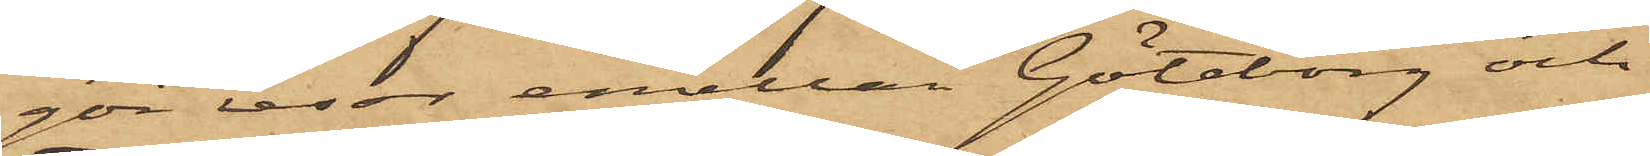gör resor emellan Göteborg och
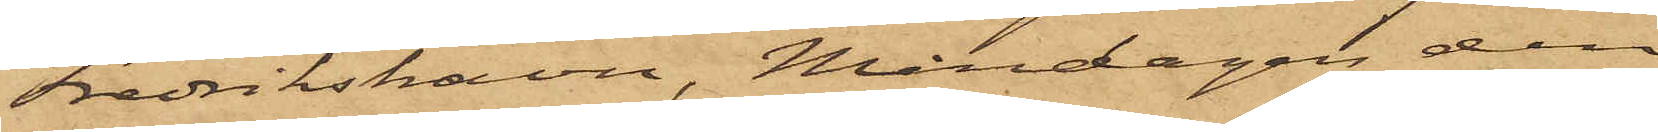Fredrikshavn, Måndagen den
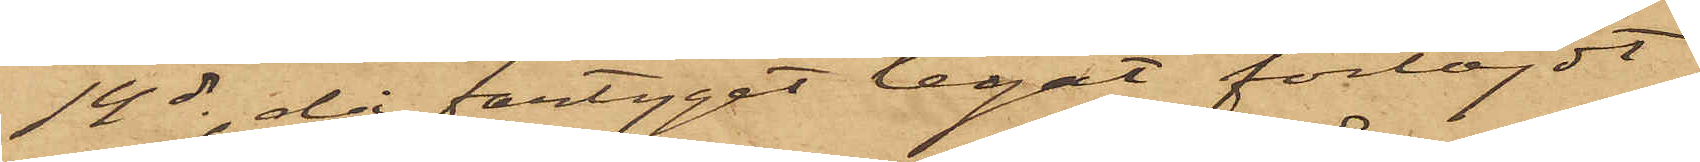14 ds, då fartyget legat förtöjdt
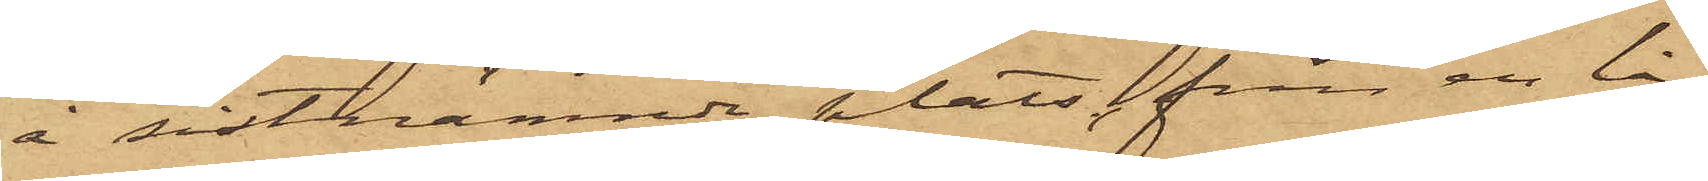å sistnämnde plats, från en lå¬
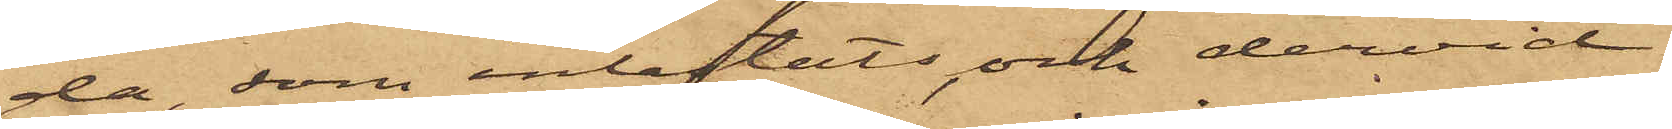da som inlastats, och dervid
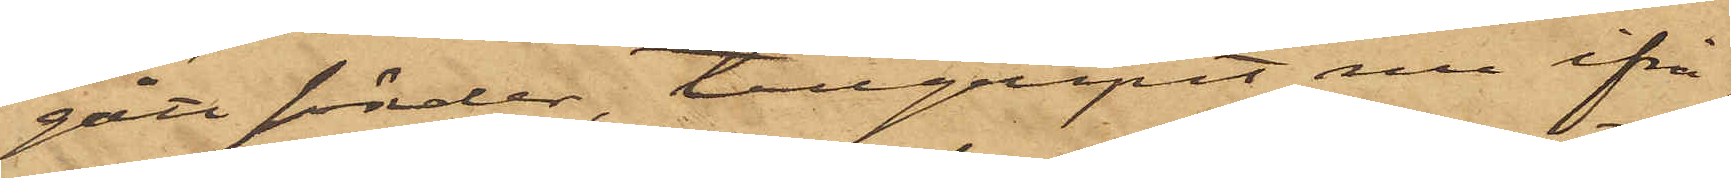gått sönder, tillgripit nu ifrå¬
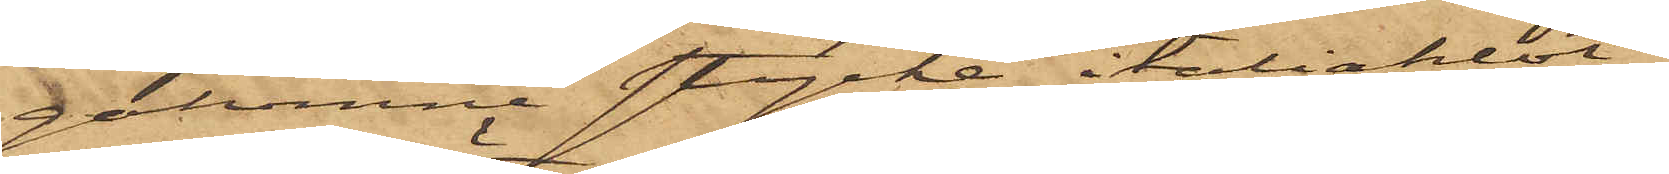gakomne stycke italiaklot;
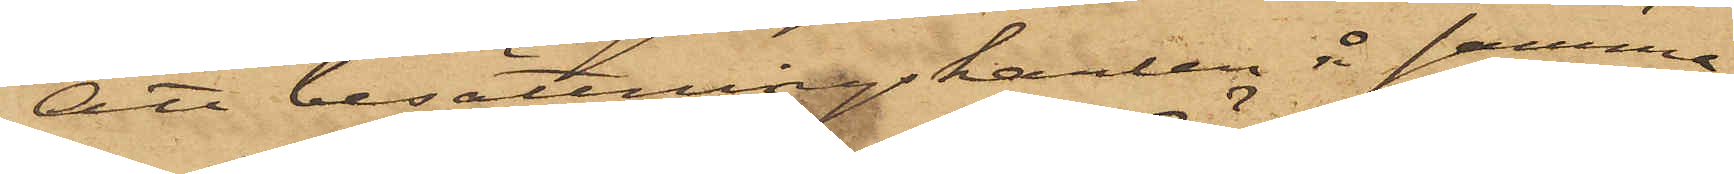att besättningskarlen å samma
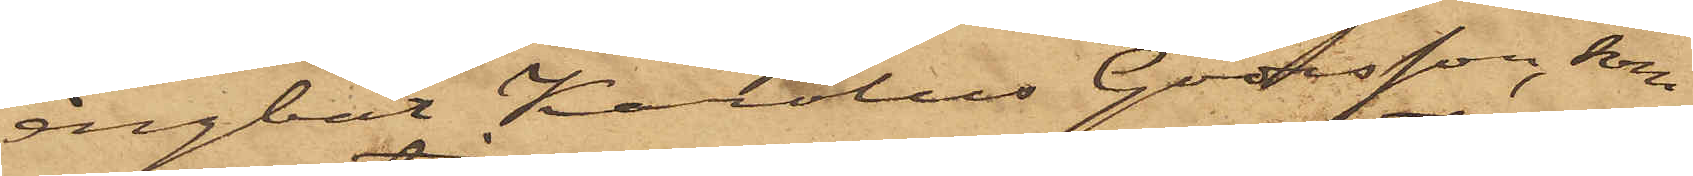ångbåt Karolus Göransson, som
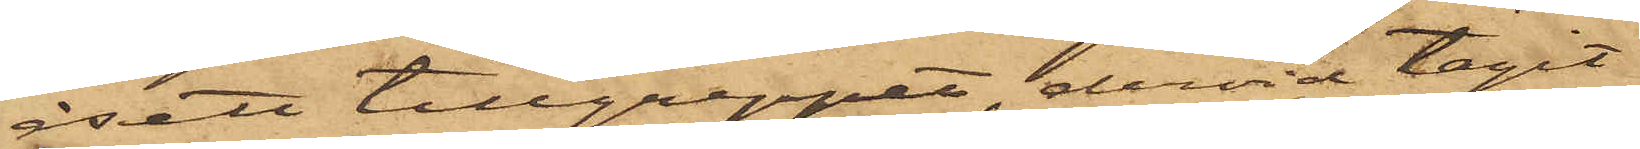åsett tillgreppet, dervid tagit
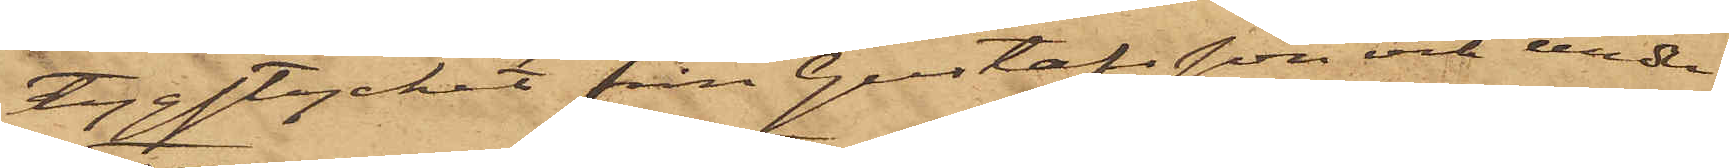tygstycket från Gustafsson och under
